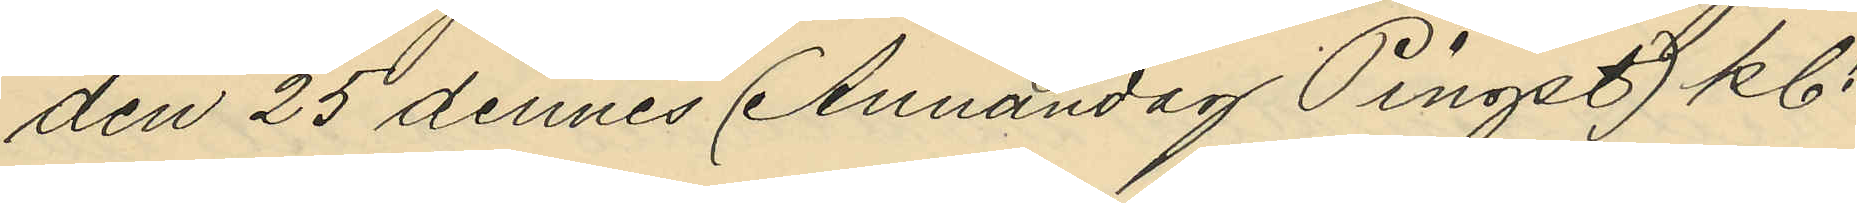den 25 dennes (Annandag Pingst) kl.
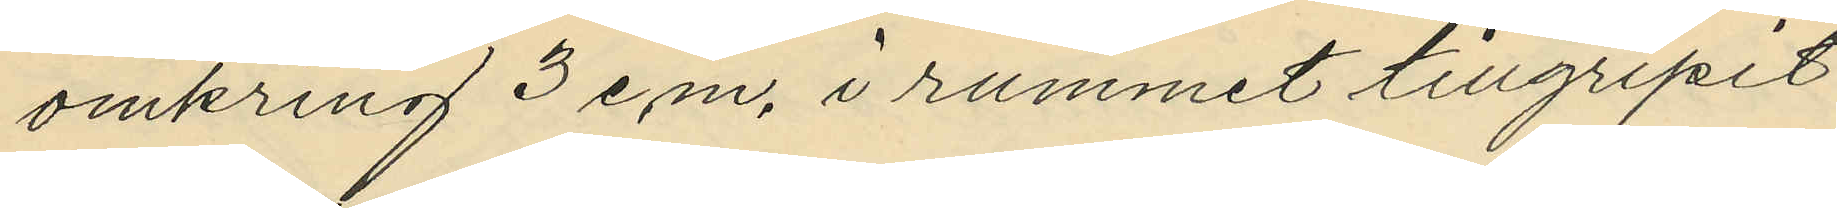omkring 3 e.m. i rummet tillgripit
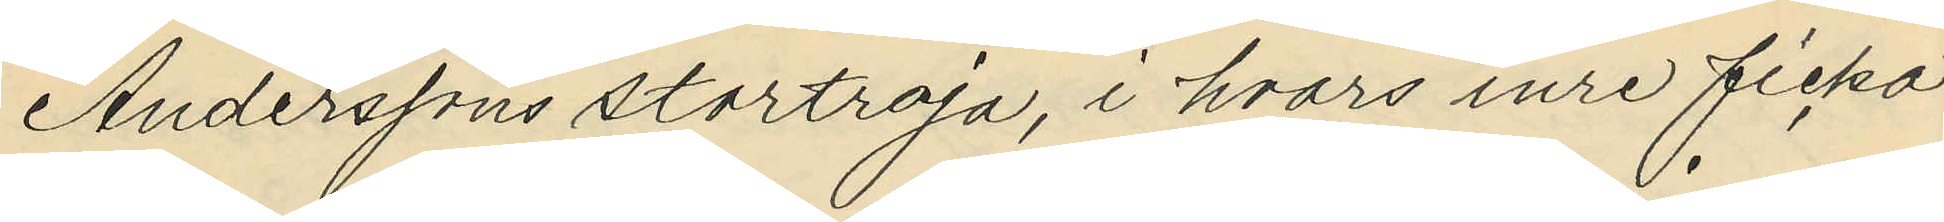Anderssons stortroja, i hvars inre ficka
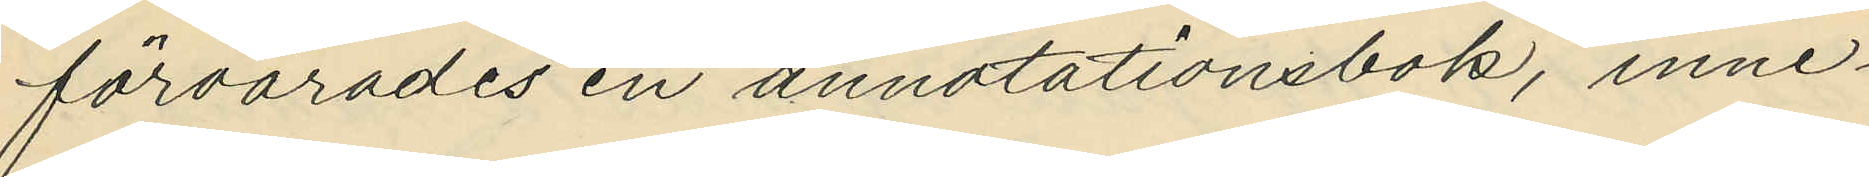förvarades en annotationsbok, inne¬
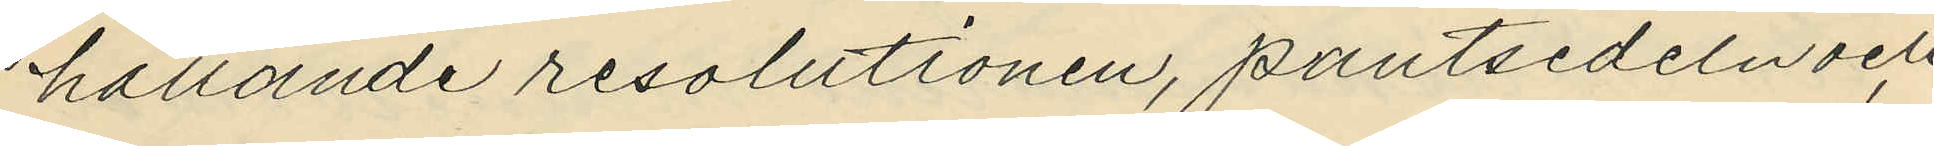hållande resolutionen, pantsedeln och
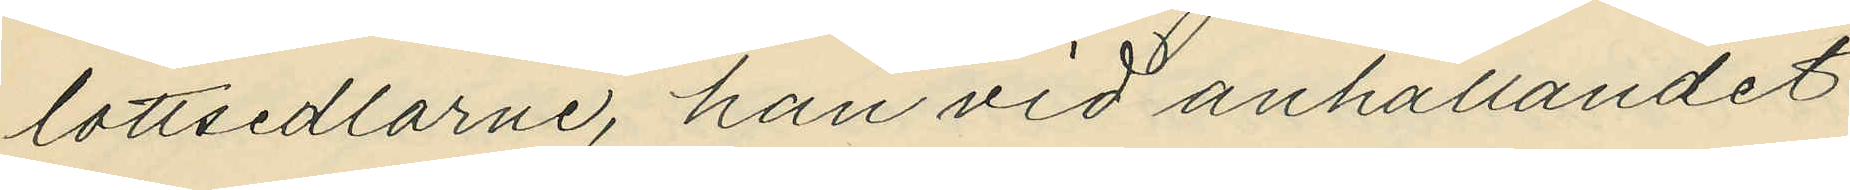lottsedlarne, han vid anhållandet
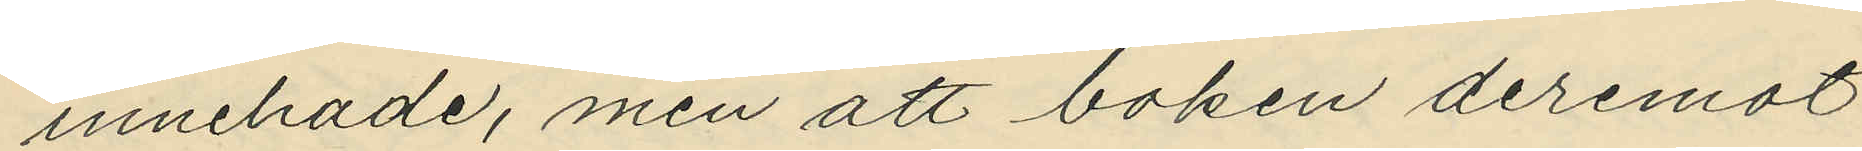innehade, men att boken deremot
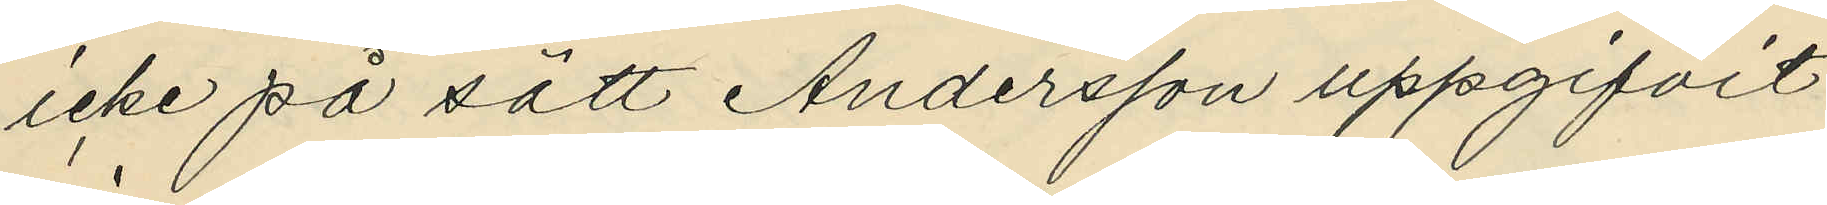icke på sätt Andersson uppgifvit
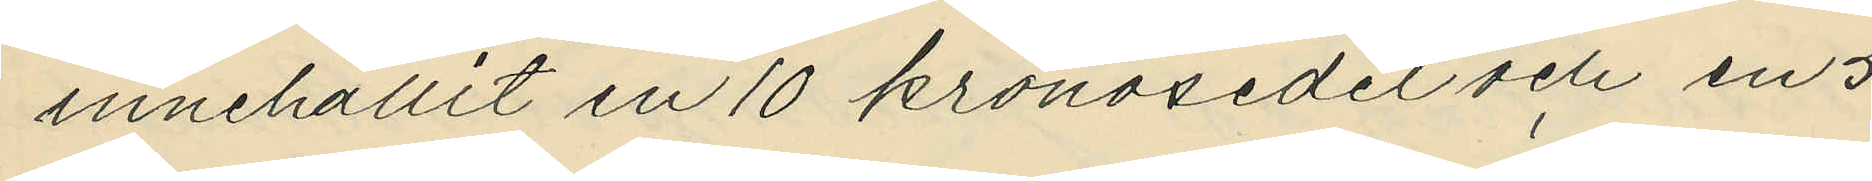innehållit en 10 kronosedel och en 5
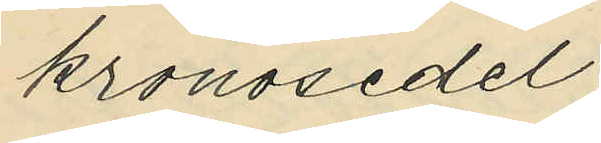kronosedel;
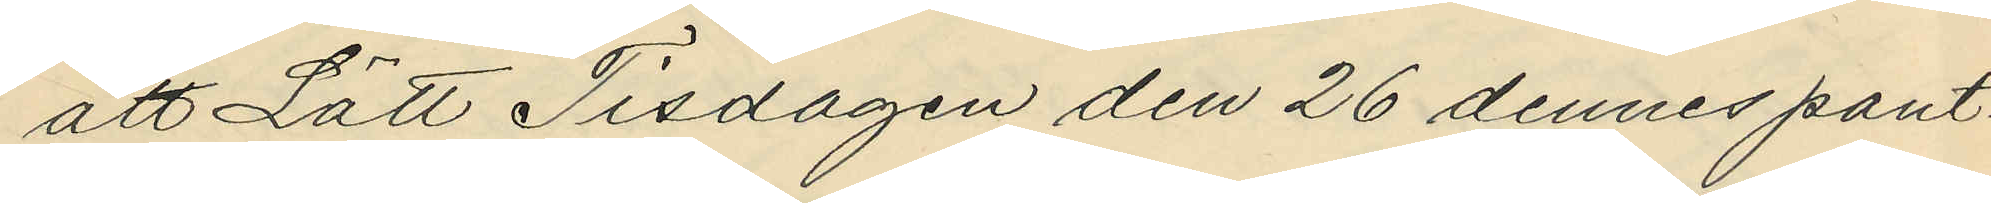att Lätt Tisdagen den 26 dennes pant¬
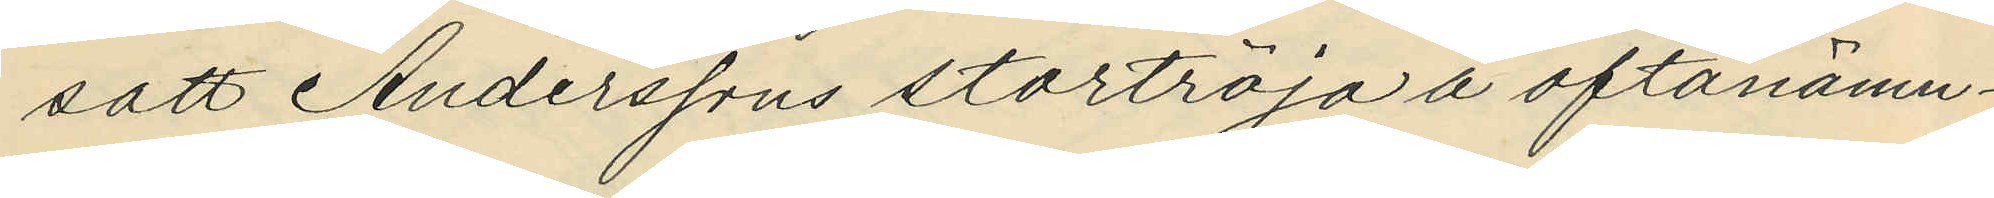satt Anderssons stortröja å oftanämn¬
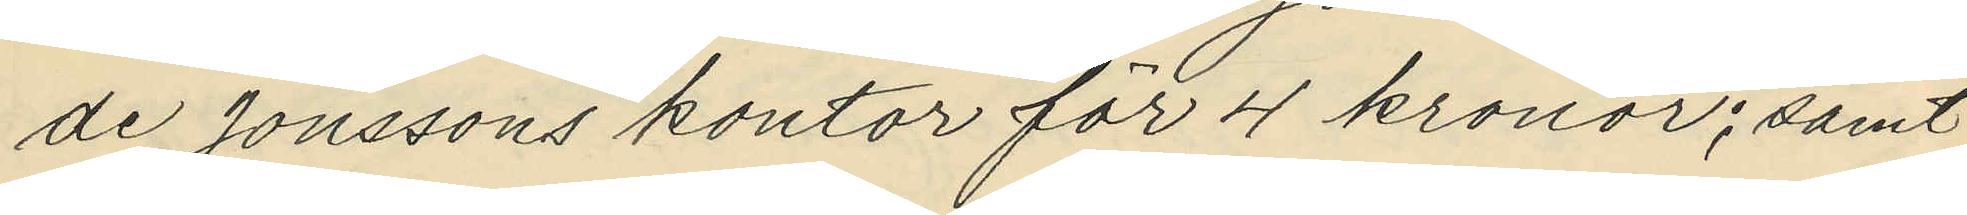de Jonssons kontor för 4 kronor; samt
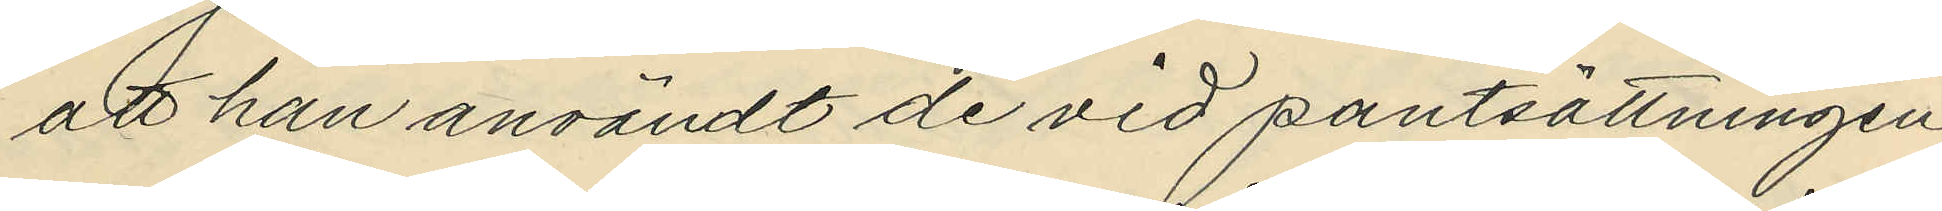att han användt de vid pantsättningen
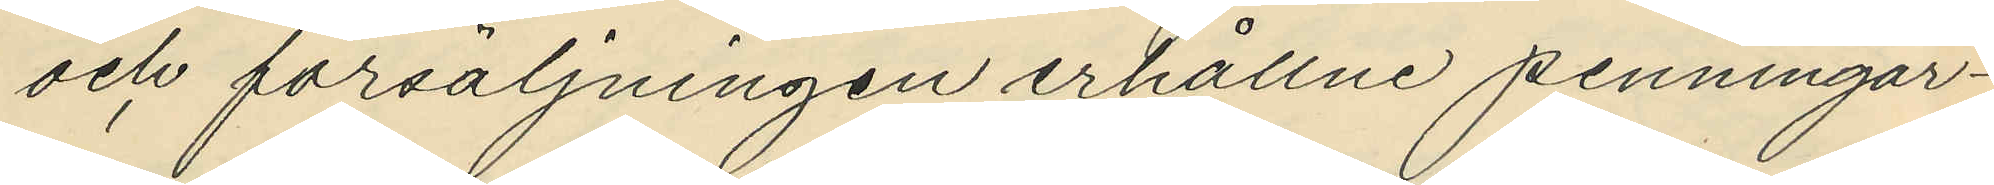och försäljningen erhållne penningar¬
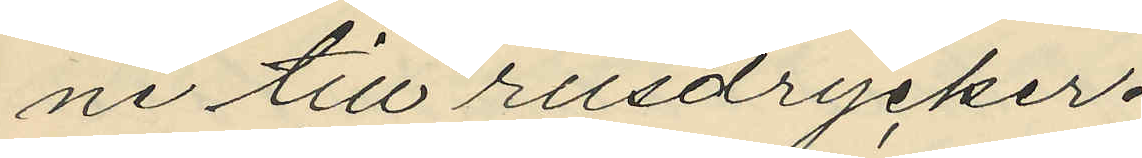ne till rusdrycker.
